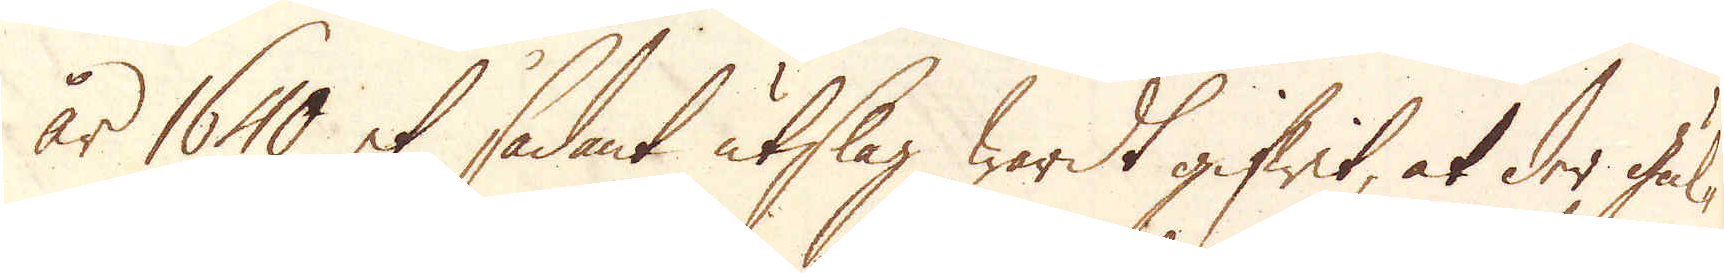år 1640 et sådant utslag wardt gifwit, at der ful-
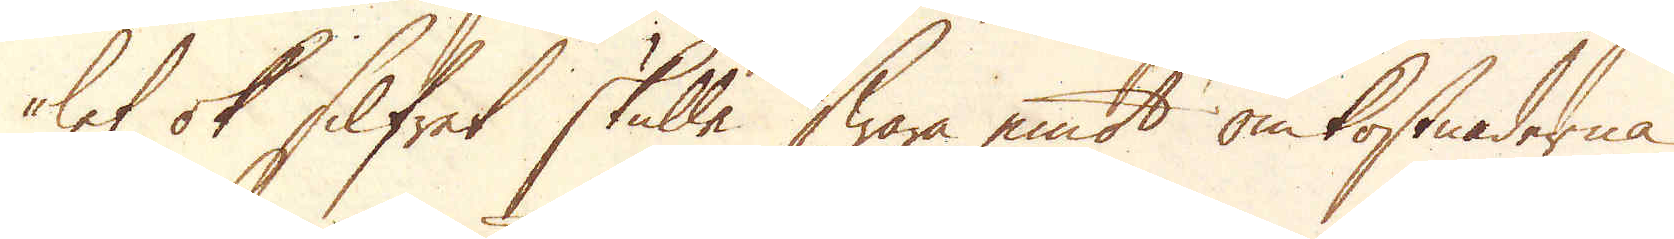let ok Silfret skulle swara emot omkostnaderna
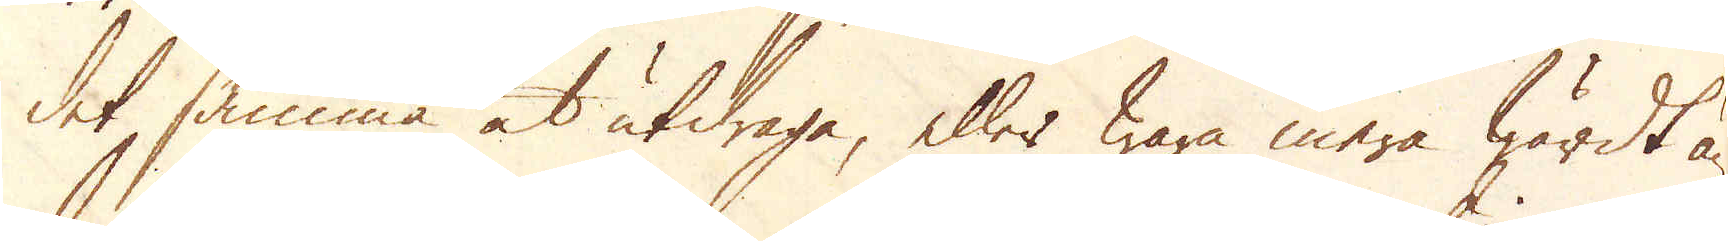det samma at utdraga, eller wara mera wärdt än
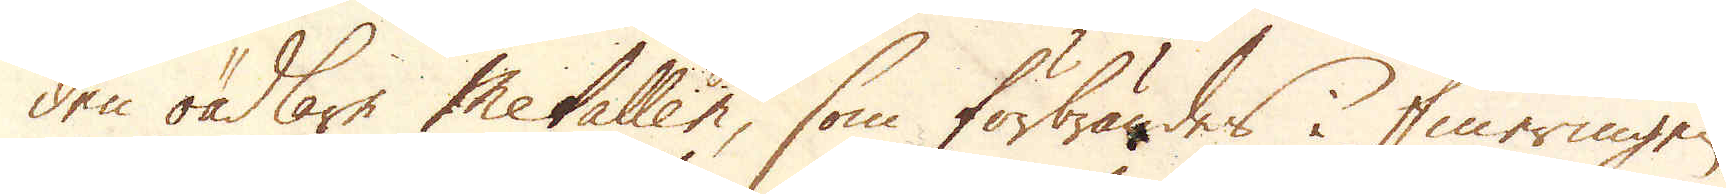den oädlare Metallen, som förbrändes i fineringen
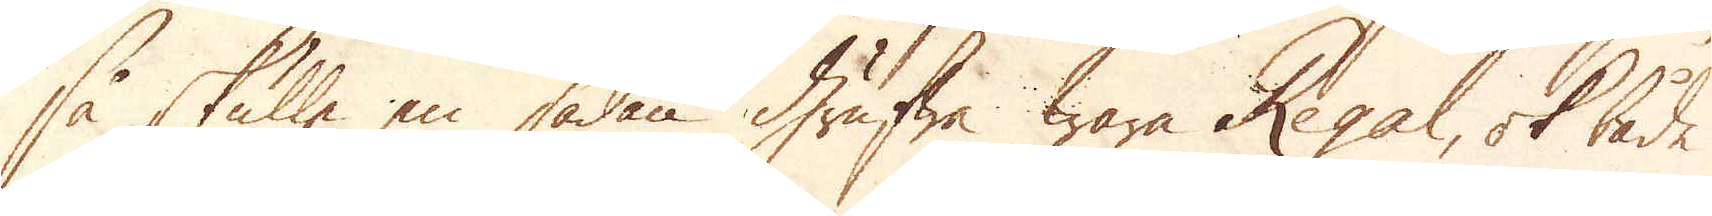så skulle en sådan Grufwa wara Regal, ok både
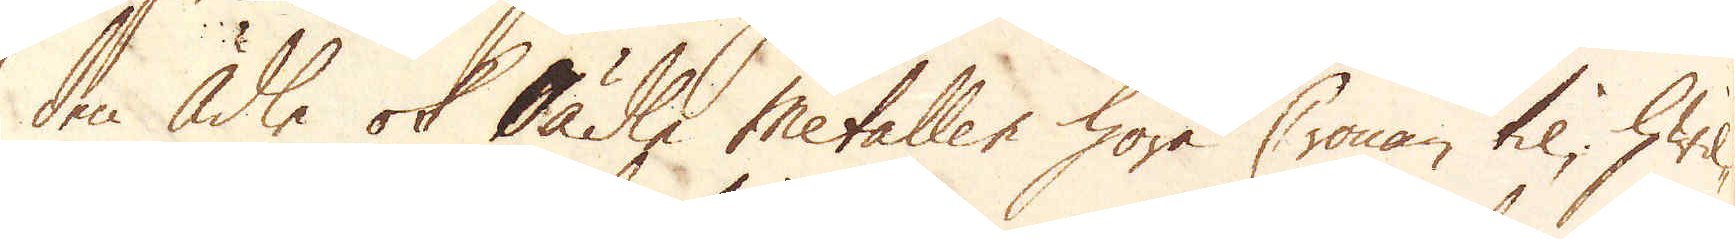den ädle ok oädle Metallen höra Cronan til, hwil-
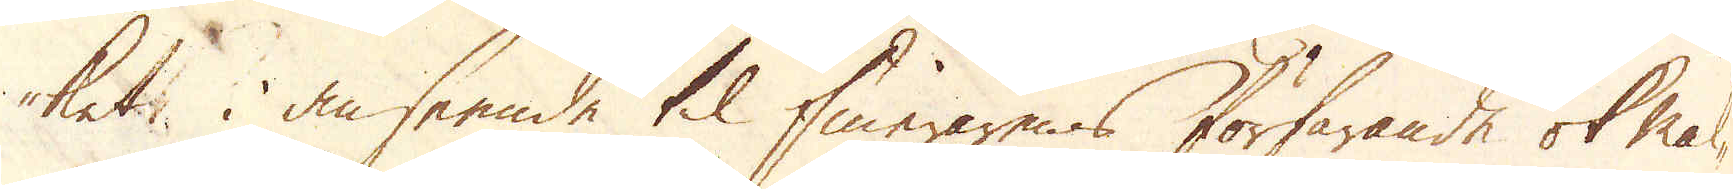kets i anseende til finerarens förfarande ok mal-
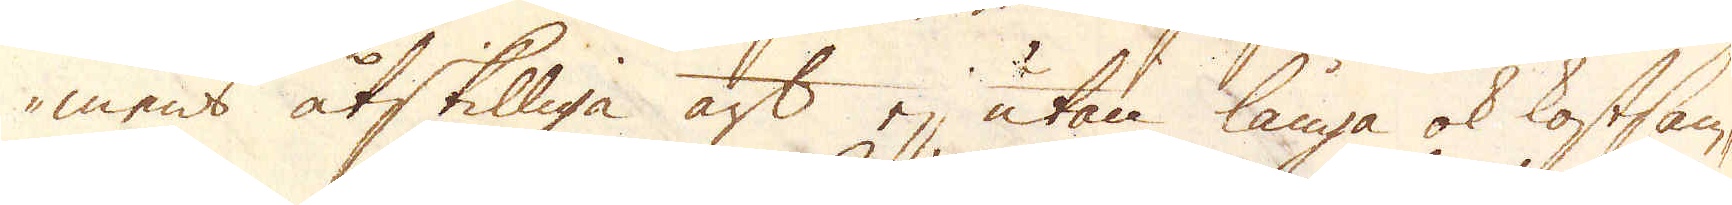mens åtskilliga art, ej utan långa ok kostsam-
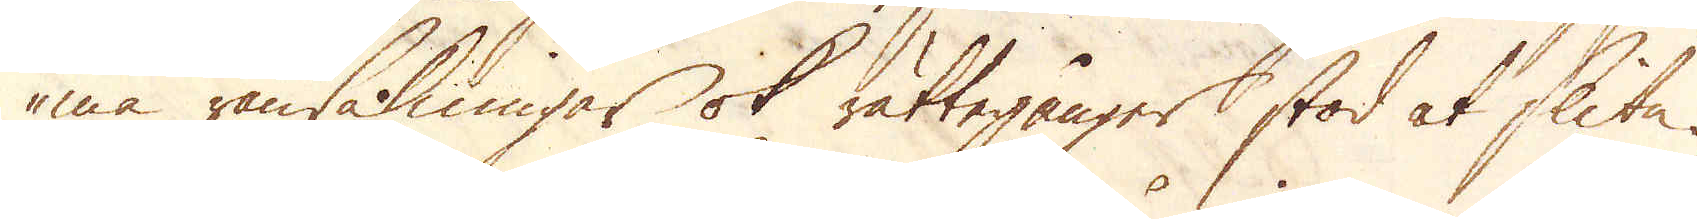ma ransakningar ok rättegånger stod at slita.
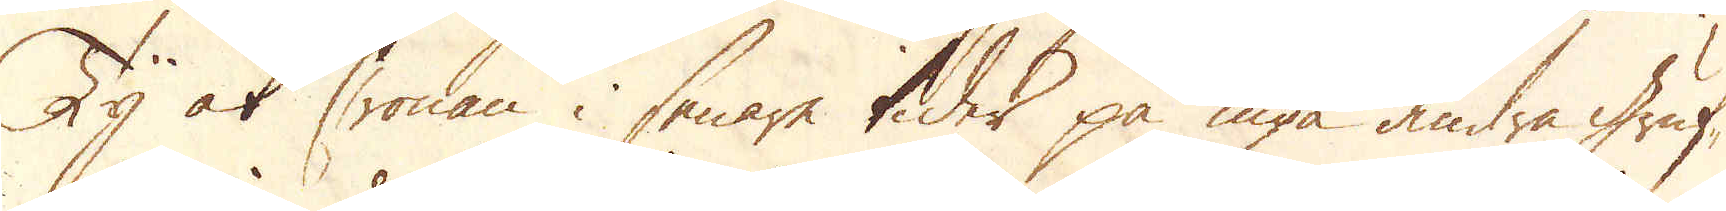Ty at Cronan i senare tider på inga andra gruf-
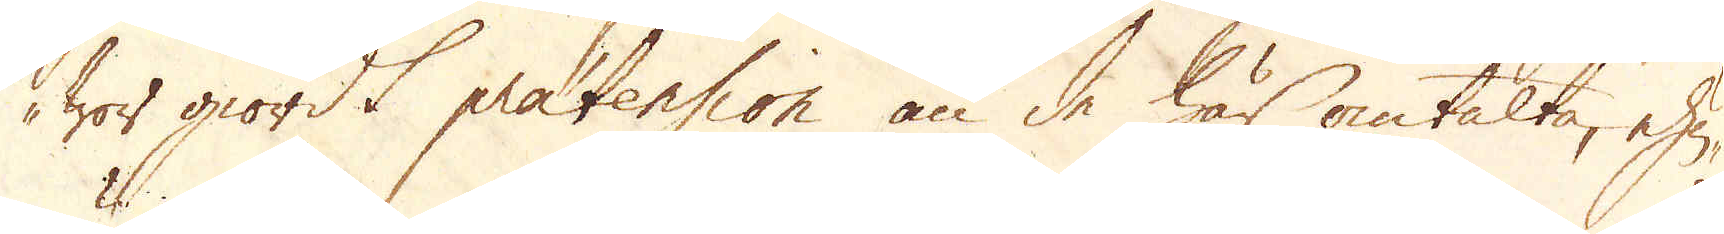wor giordt pratension än de här omtalte, ehu-
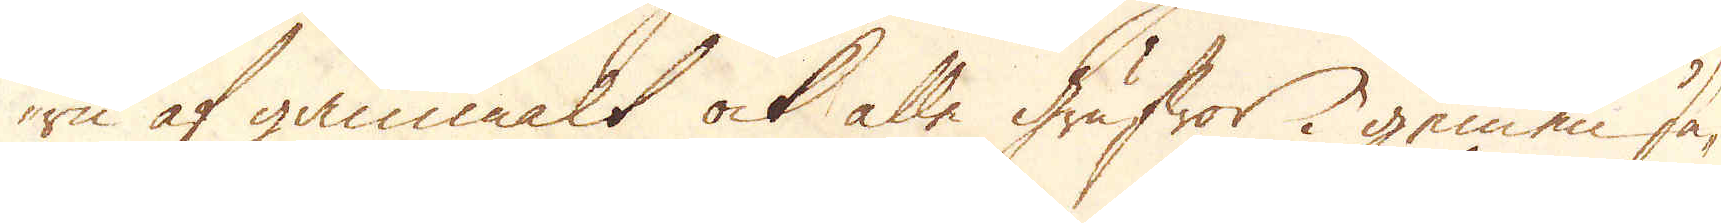ru af gammalt ock alle grufwor i gemen sä-
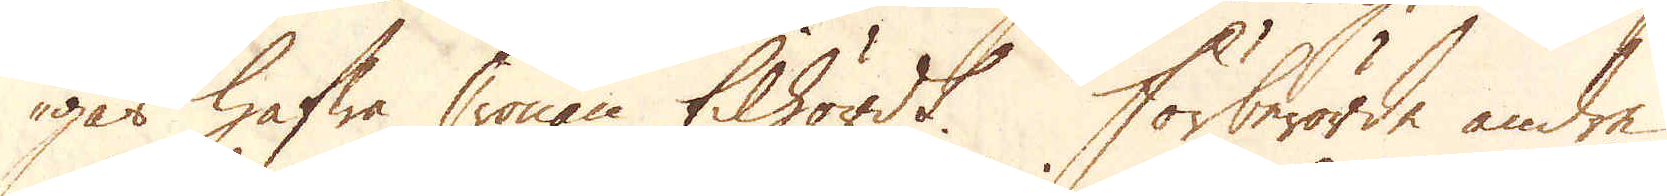gas hafwa Cronan tilhördt. Förberörde andre
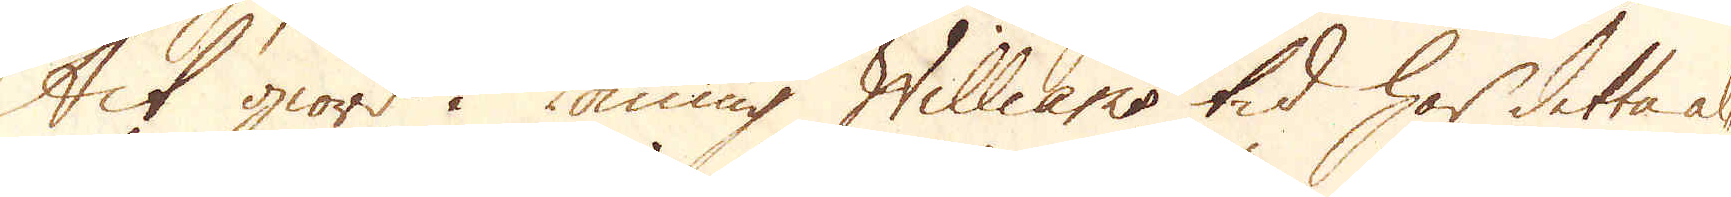Ack giord i Konung Williams tid har detta al-
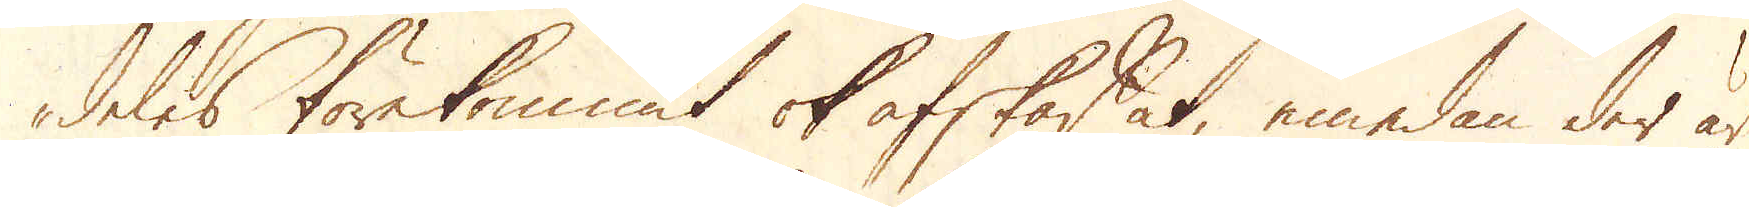deles förekommit ok afskaffat, emedan der är
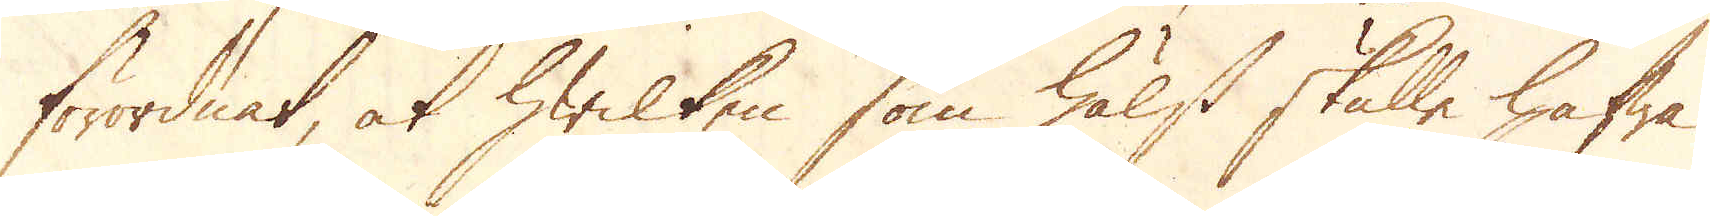förordnat, at hwilken som hälst skulle hafwa
